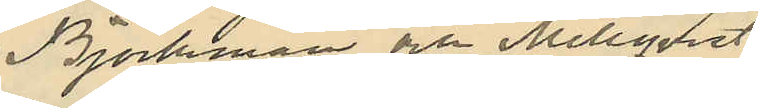Björkman och Mellqvist
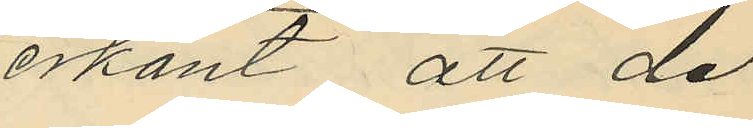erkänt, att de
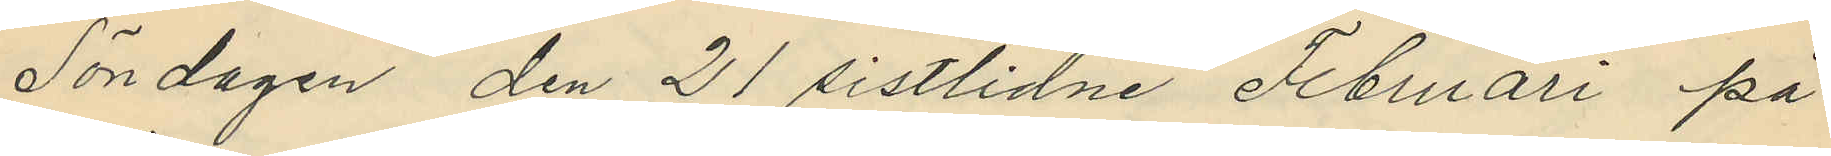Söndagen den 21 sistlidne Februari på
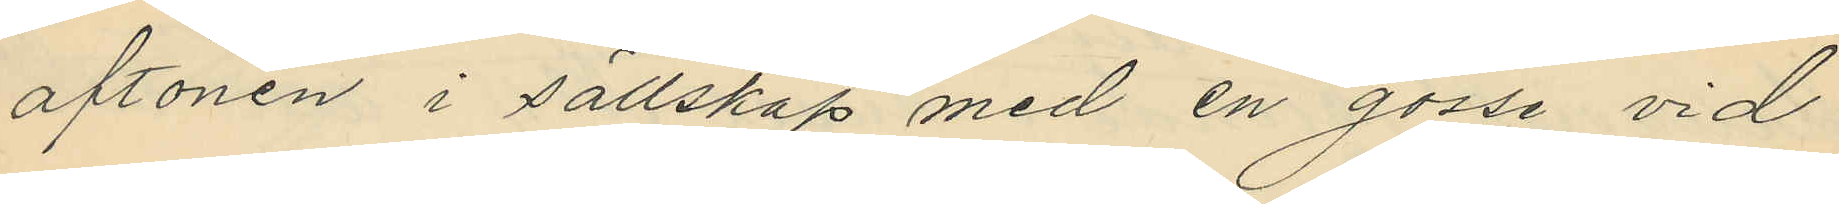aftonen i sällskap med en gosse vid
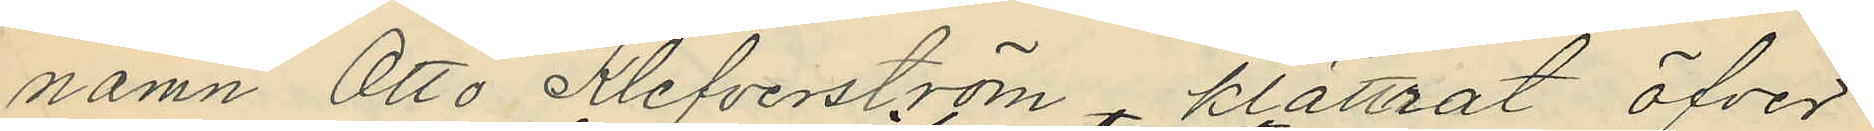namn Otto Klefverström klättrat öfver¬
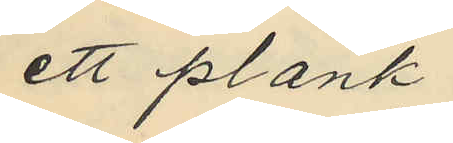ett plank
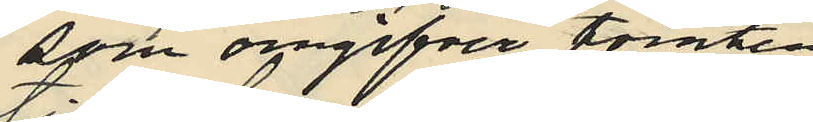sfin omgifver tomten
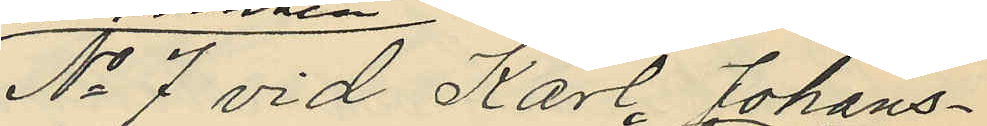No 7 vid Karl Johans¬
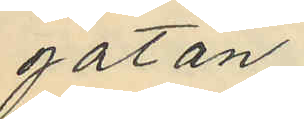gatan,
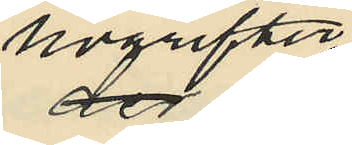nogrifter der
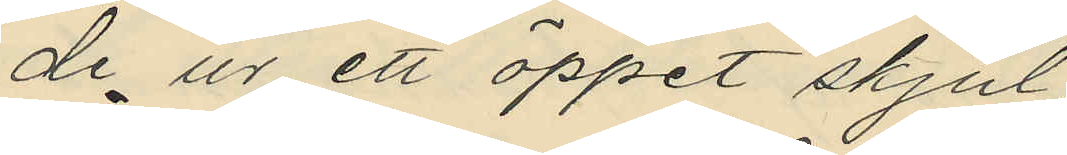de ur ett öppet skjul
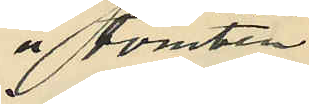å tomten
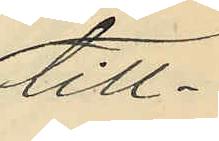till¬
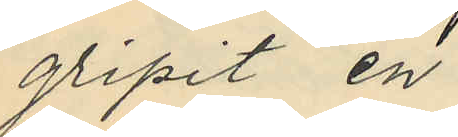gripit en
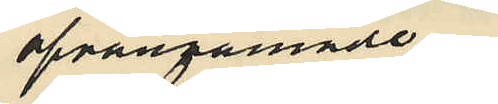ofvannämnde
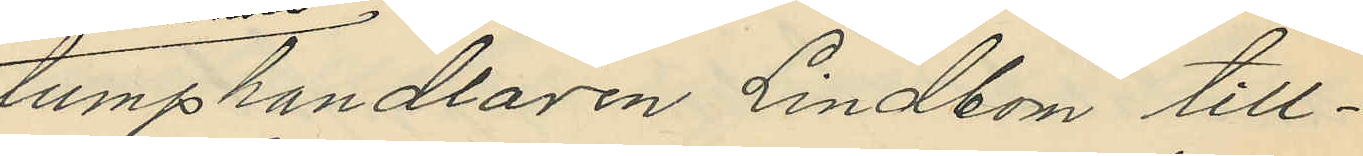lumphandlaren Lindbom till¬
